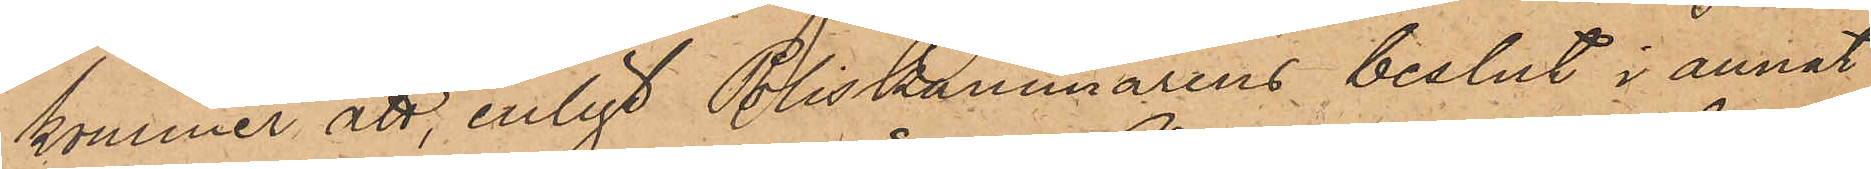kommer att, enligt Poliskammarens beslut i annat
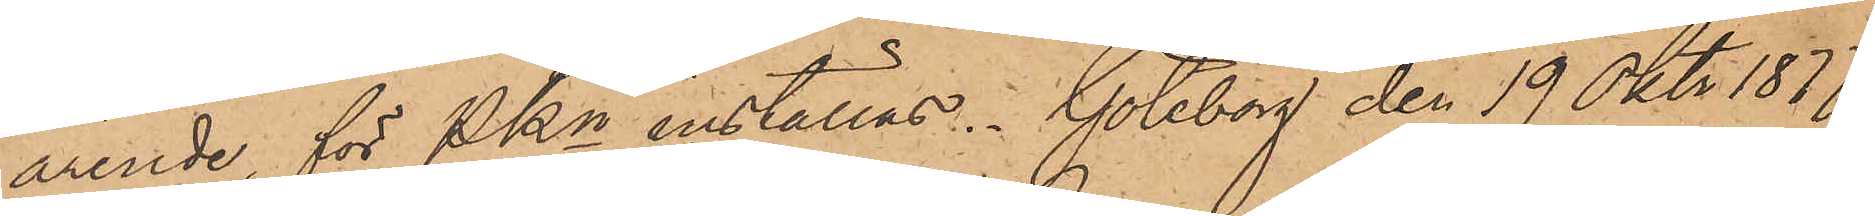ärende, för Pkn inställas. Göteborg den 19 Okt. 1877.
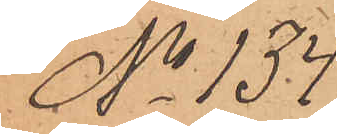No 134.
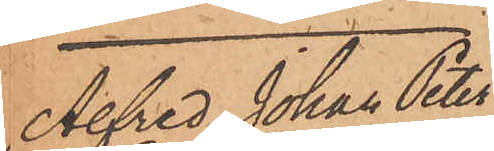Alfred Johan Peter
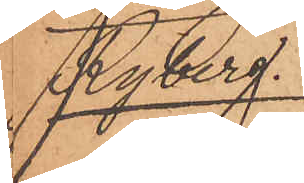Ryberg.
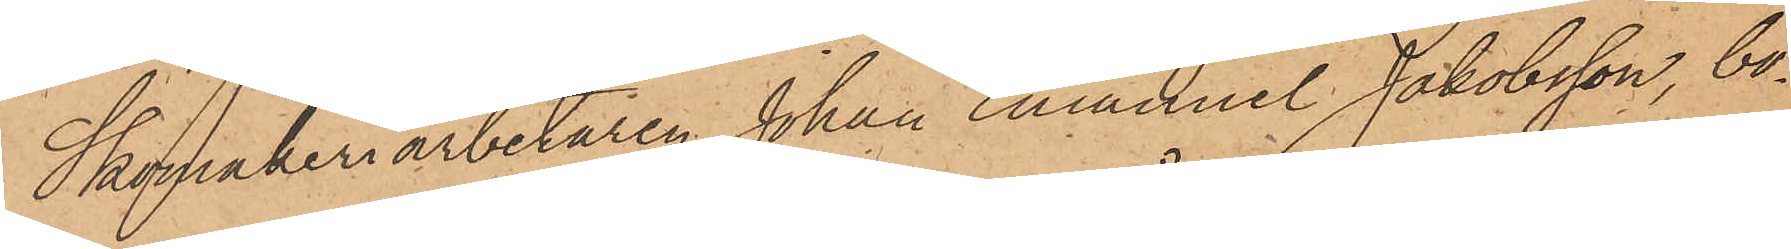Skomakeriarbetaren Johan Emanuel Jakobsson, bo¬
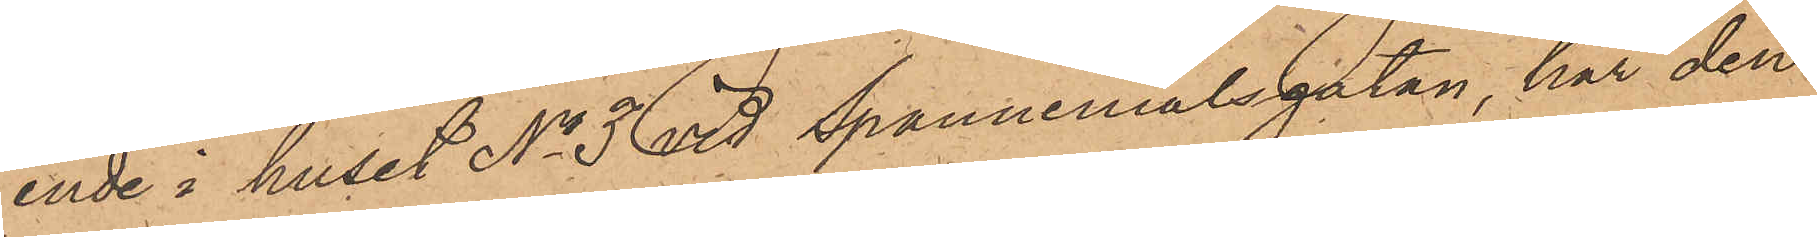ende i huset No 3 vid Spannmålsgatan, har den
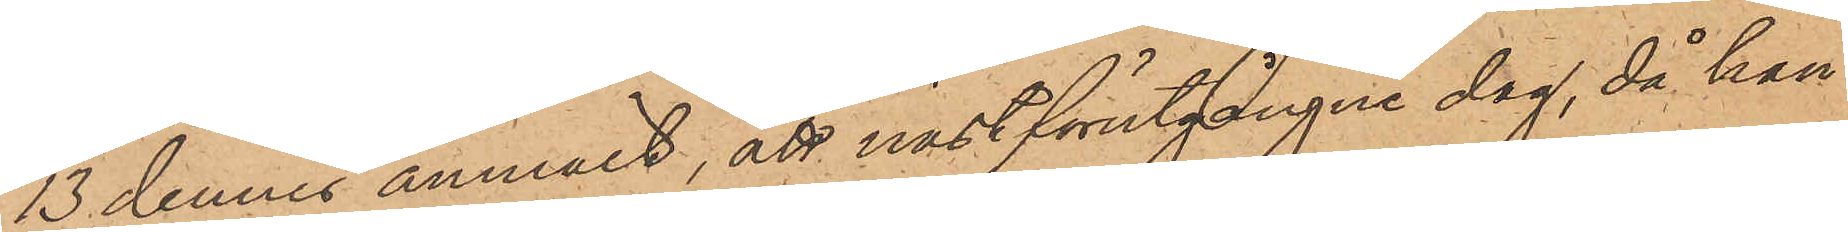13 dennes anmält, att nästförutgångne dag, då han
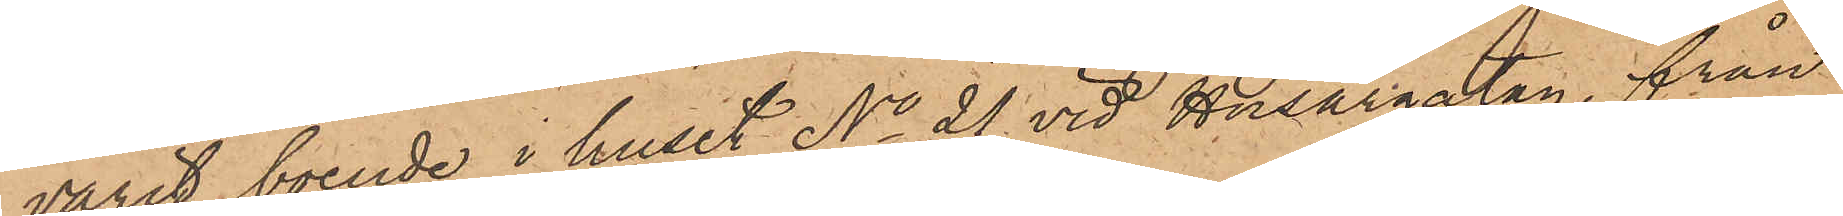varit boende i huset No 21 vid Husargatan, från
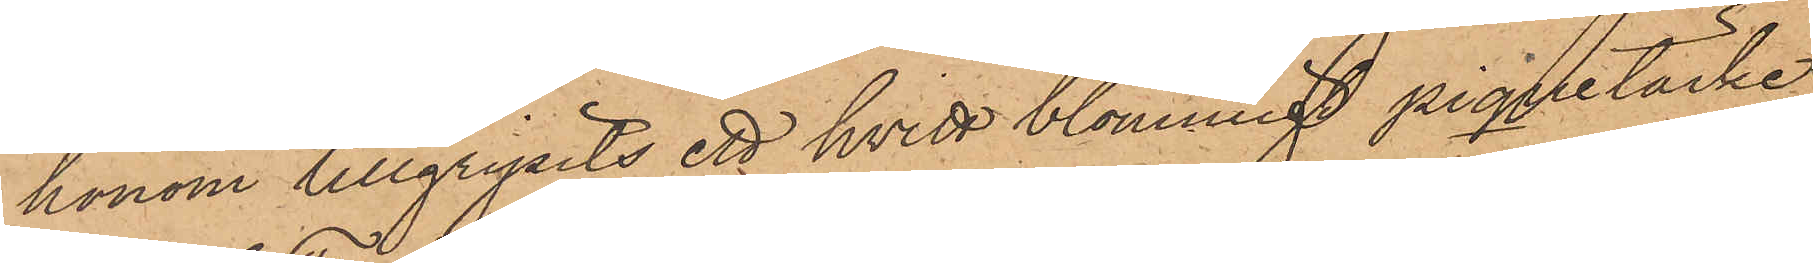honom tillgripits ett hvitt blommigt piquetäcke,
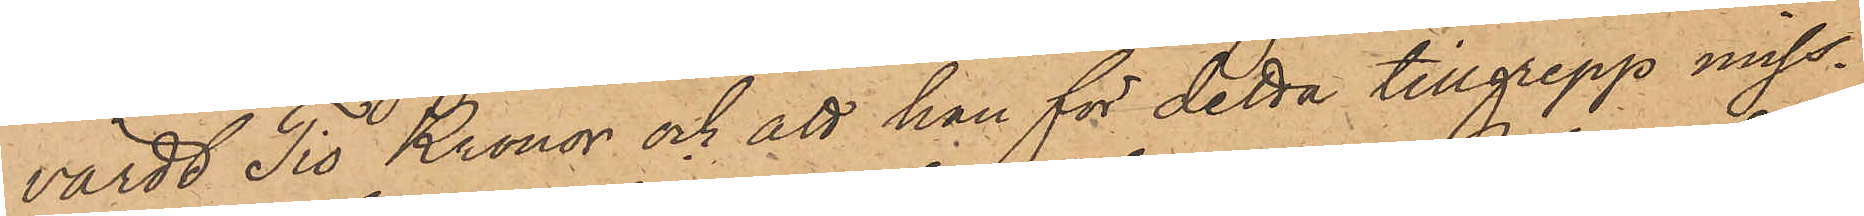värdt Tio Kronor och att han för detta tillgrepp miss¬
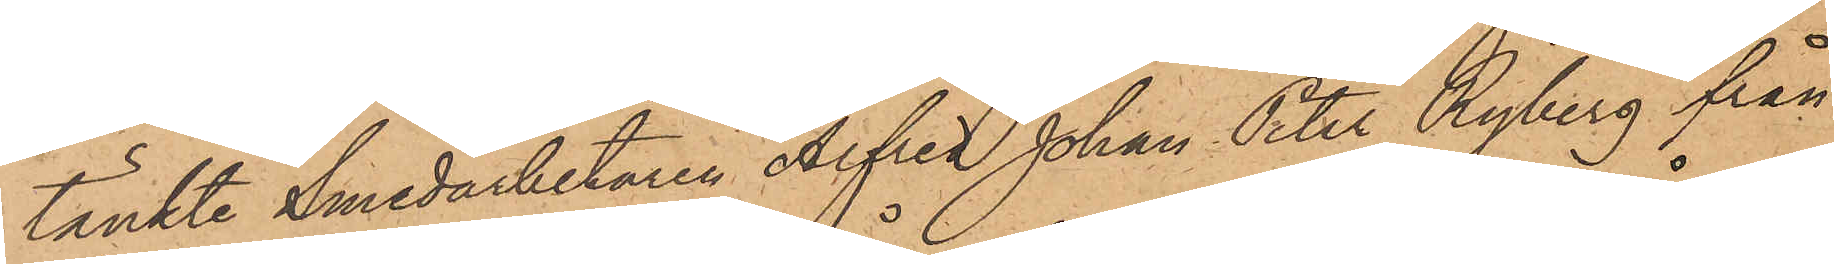tänkte Smedarbetaren Alfred Johan Peter Ryberg från
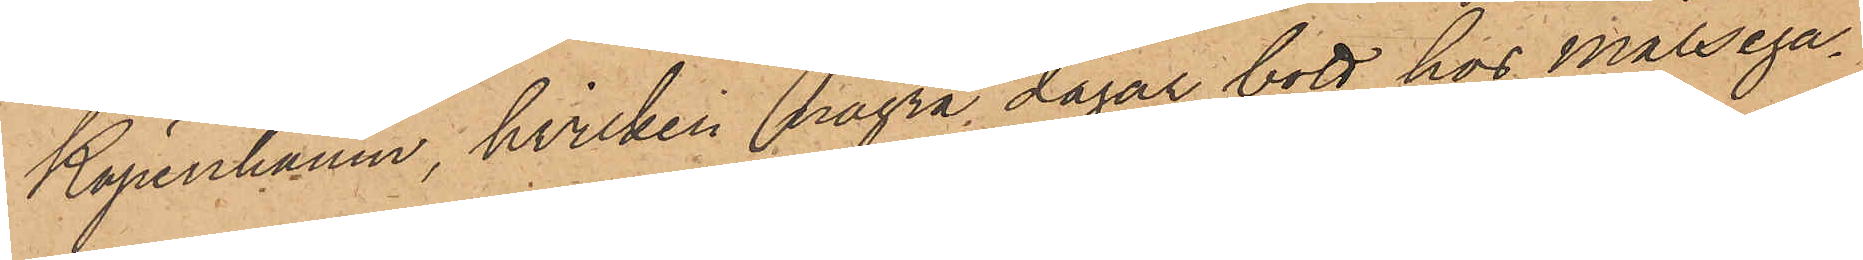Köpenhamn, hvilken några dagar bott hos målsega¬
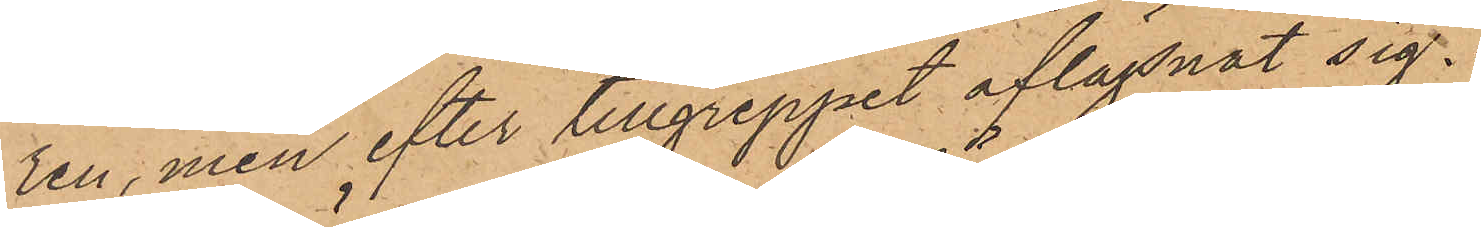ren, men efter tillgreppet aflägsnat sig.
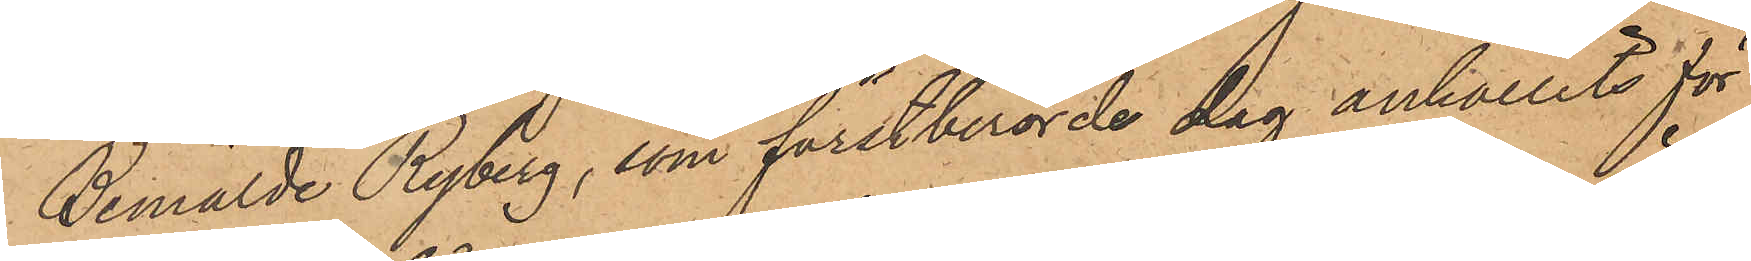Bemälde Ryberg, som förstberörde dag anhållits för
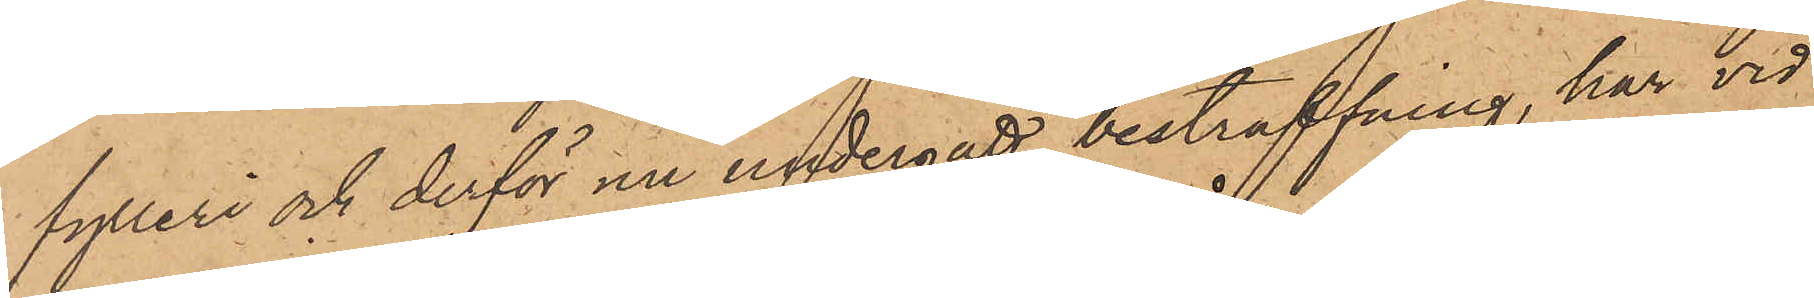fylleri och derför nu undergått bestraffning, har vid
